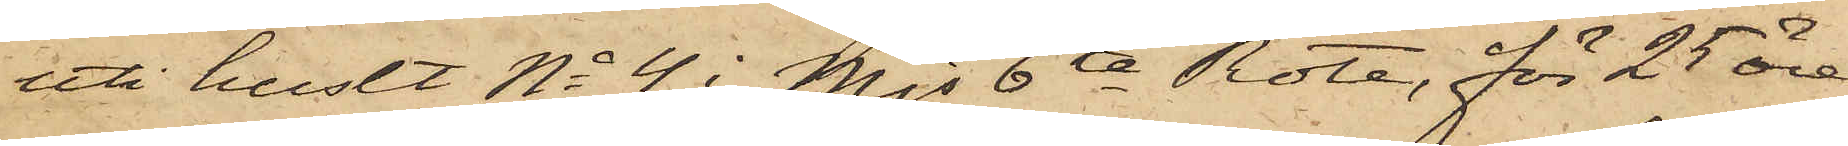uti huset No 4 i Mjs 6te Rote, för 25 öre,
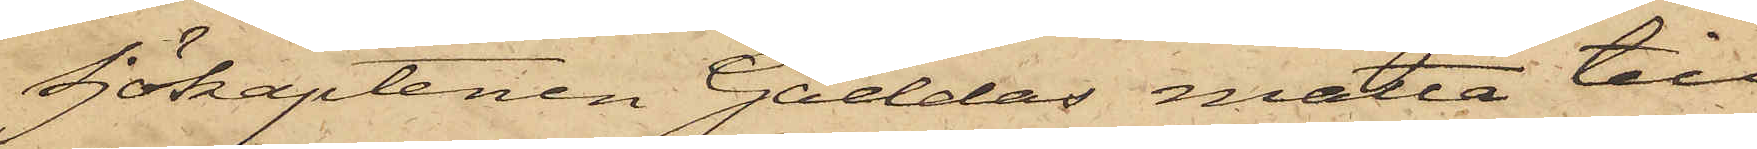Sjökaptenen Gäddas matta till
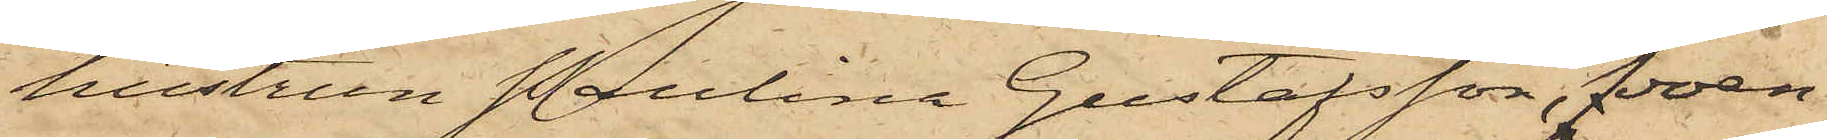hustrun Paulina Gustafsson, boen¬
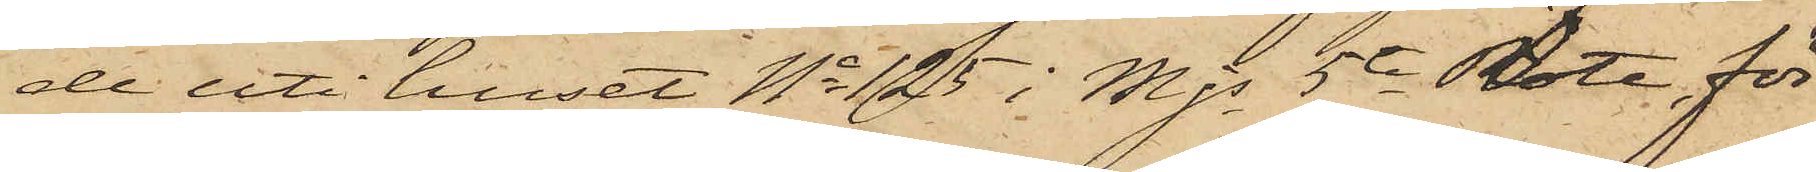de uti huset No 125 i Mjs 5te Rote, för
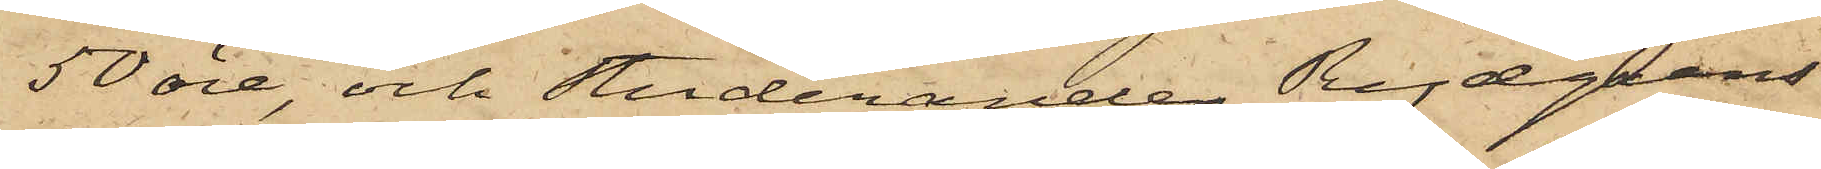50 öre och Studeranden Rydgrens
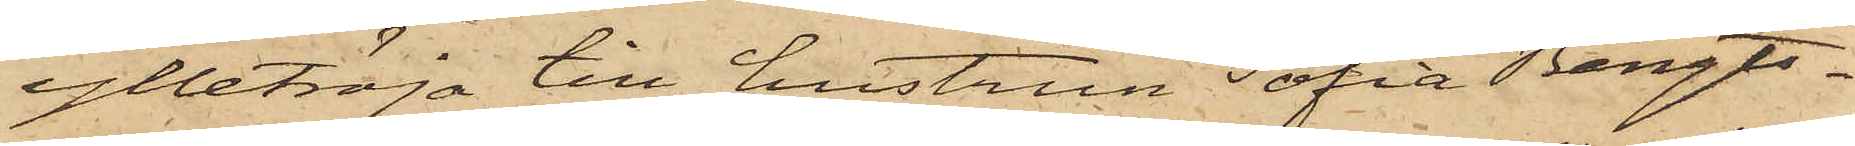ylletröja till hustrun Sofia Bengts¬
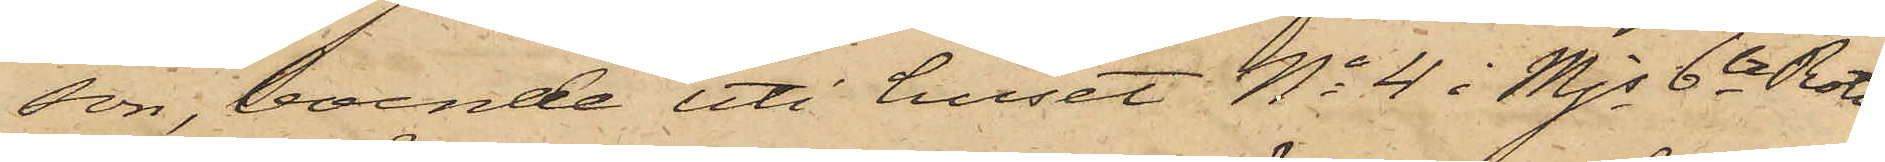son, boende uti huset No 4 i Mjs 6te Rote
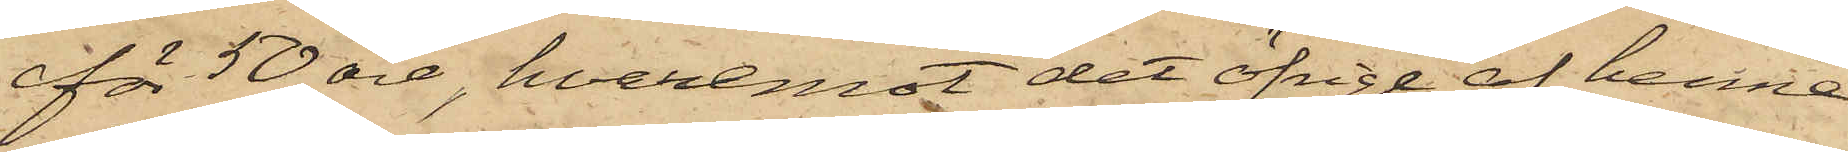för 50 öre, hvaremot det öfrige af henne
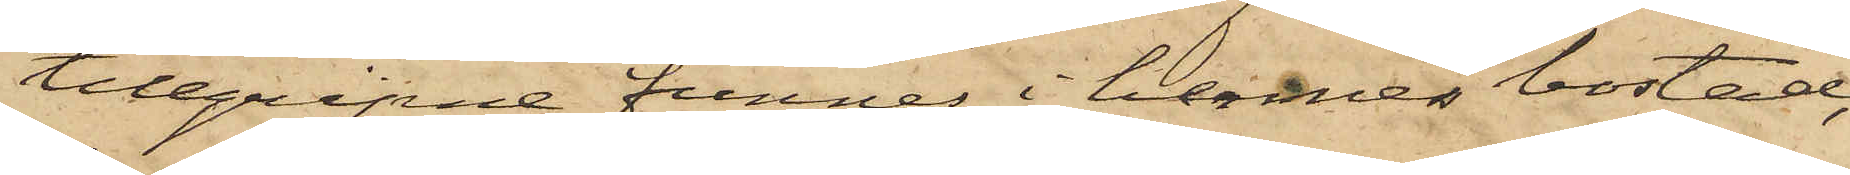tillgripne funnes i hennes bostad;
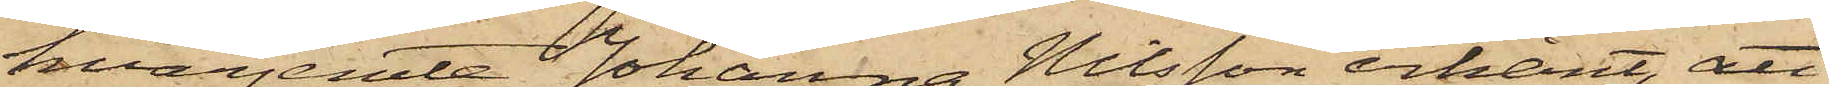hvarjemte Johanna Nilsson erkänt, att
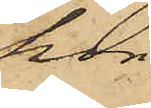hon
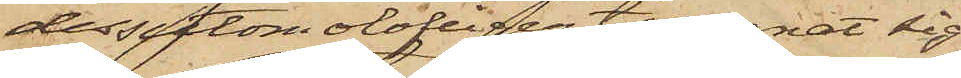dessutom olofligen tillegnat sig
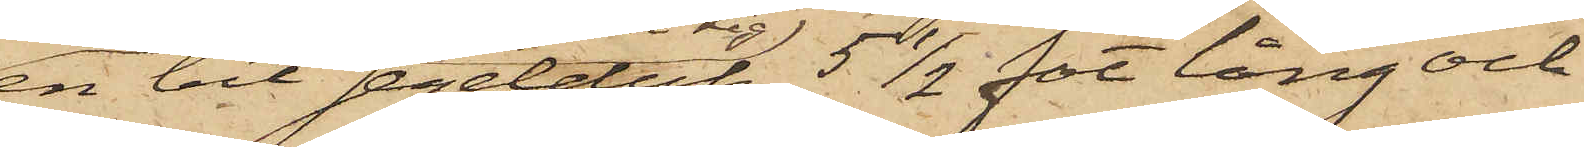en bit segelduk 5 1/2 fot lång och
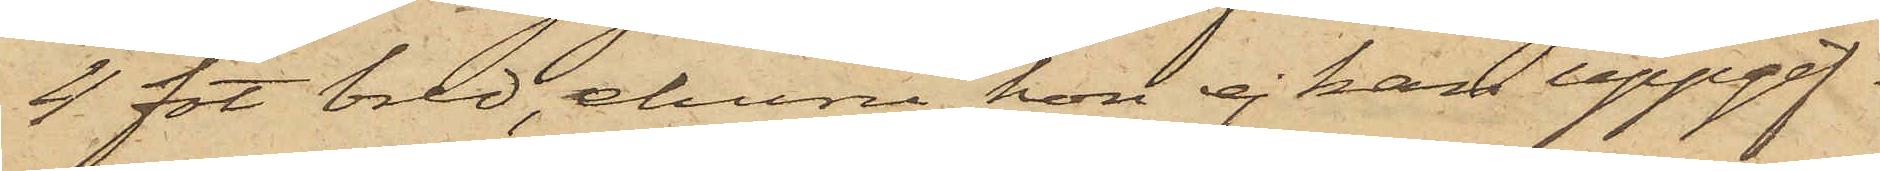4 fot bred, ehuru hon ej kan uppgif¬
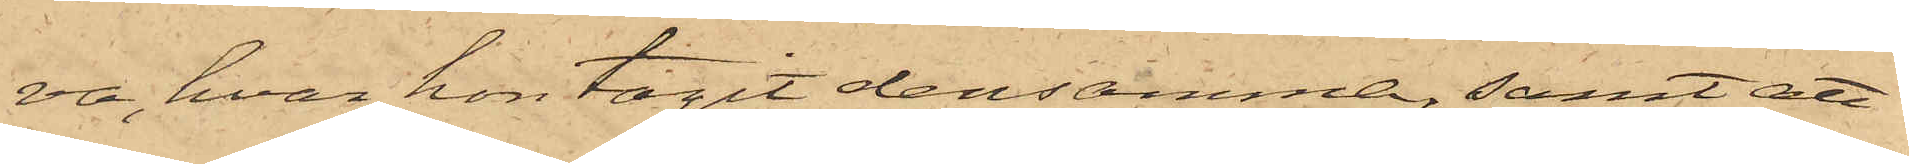va, hvar hon tagit densamma, samt att
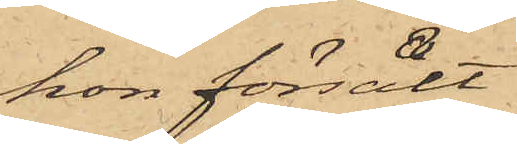hon försålt
